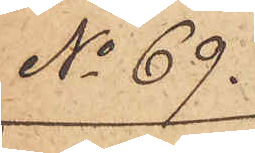No 69.
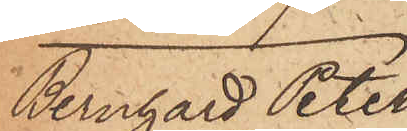Bernhard Peter
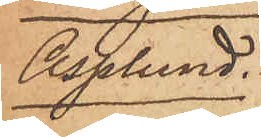Asplund
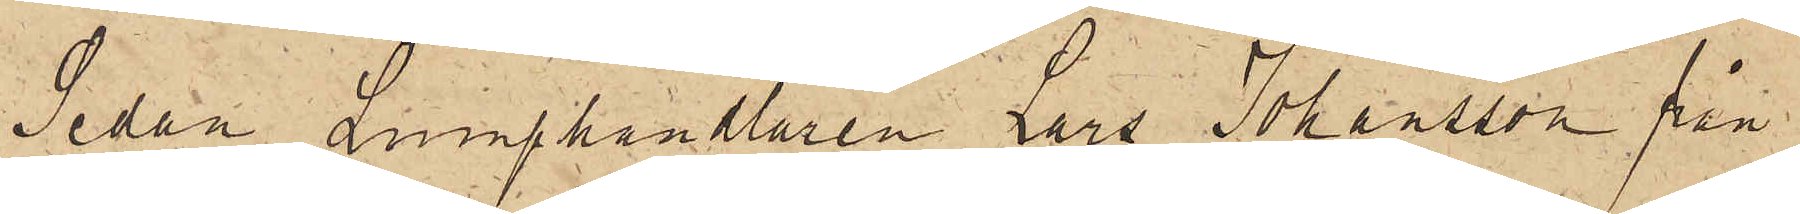Sedan Lumphandlaren Lars Johansson från
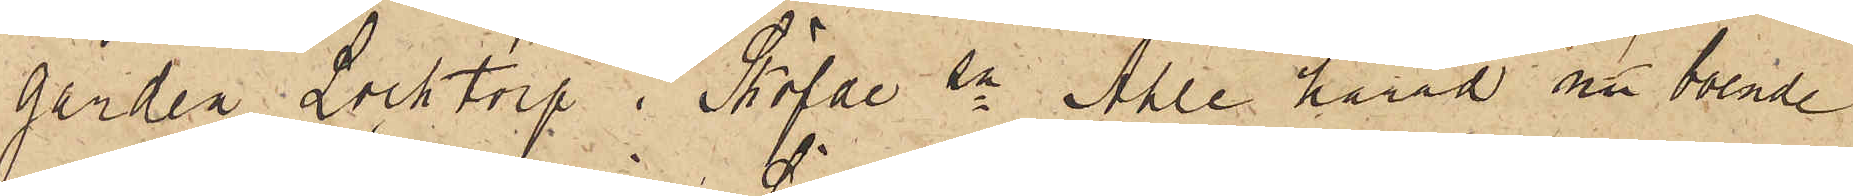gården Locktorp i Sköfde sn Ahle härad nu boende
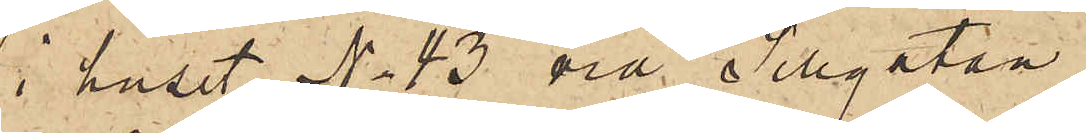i huset No 43 vid Sillgatan
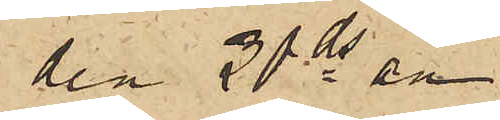den 20 ds an¬
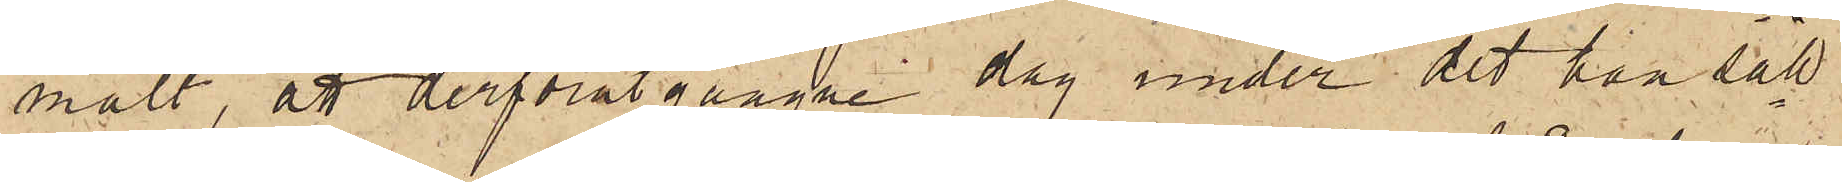mält, att derförutgångne dag under det han säll¬
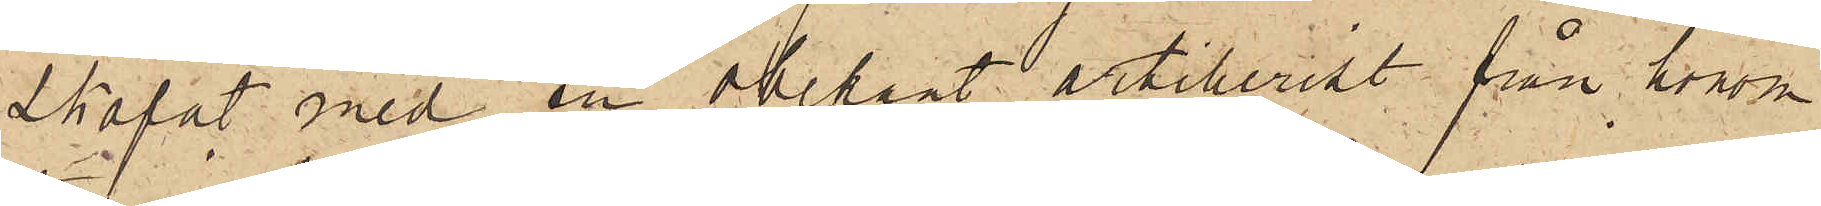skapat med en obekant artillerist från honom
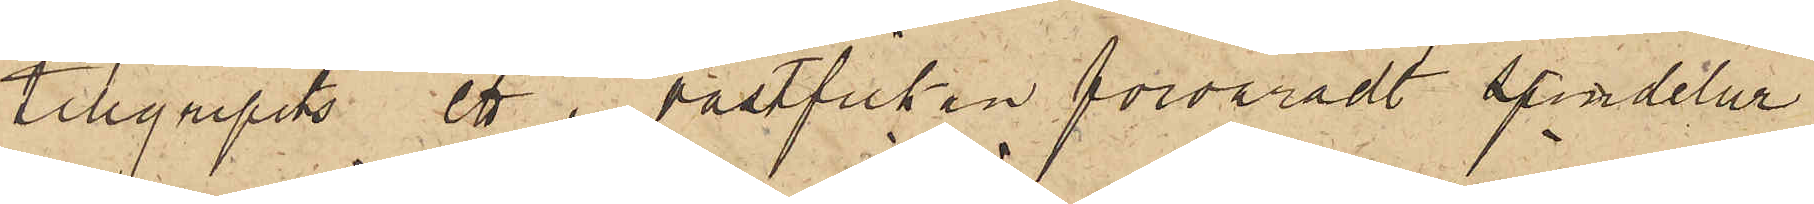tillgripits ett i västficken förvaradt spindelur
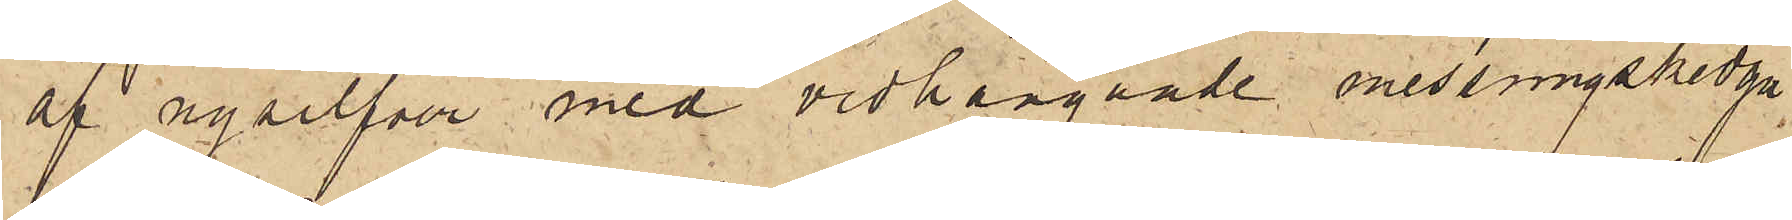af nysilfver med vidhängande messningskedja
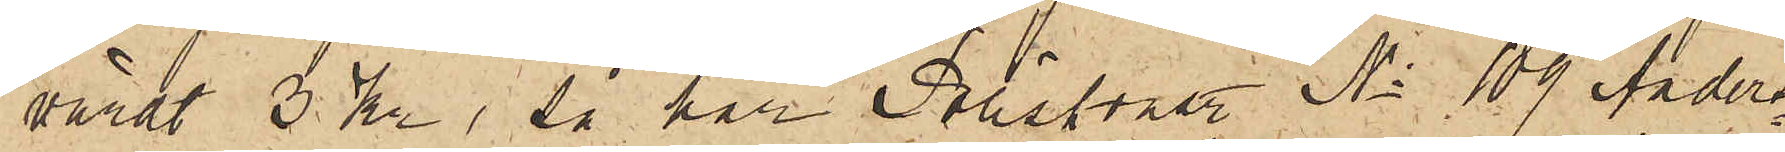värdt 3 kr, så har Poliskonst No 109 Anders¬
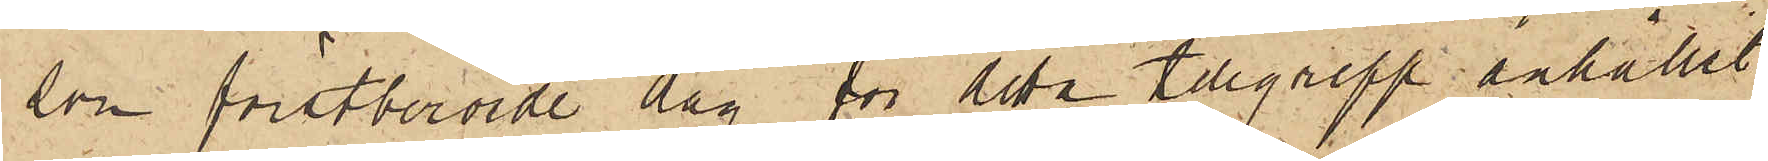son förstberörde dag för detta tillgrepp anhållit
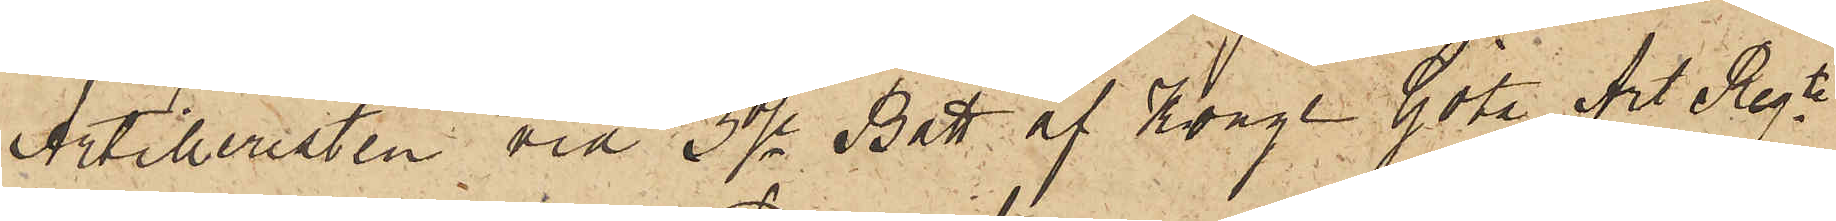Artilleristen vid 3dje Batt. af Kongl. Göta Art Regt
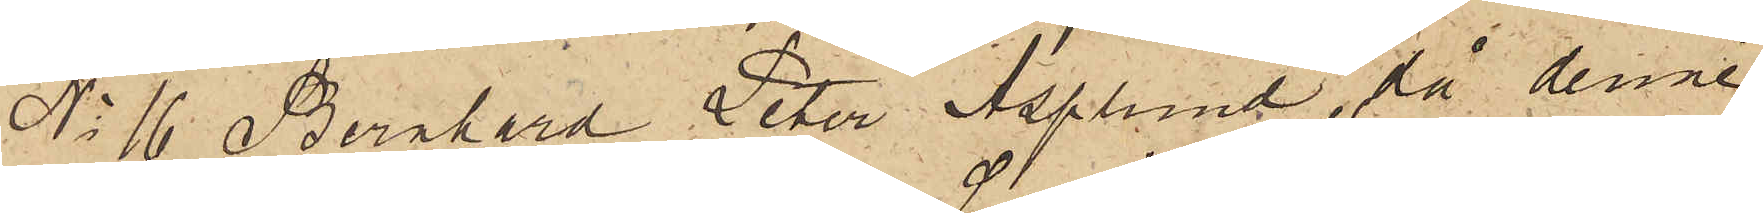No 16 Bernhard Peter Asplund, då denne
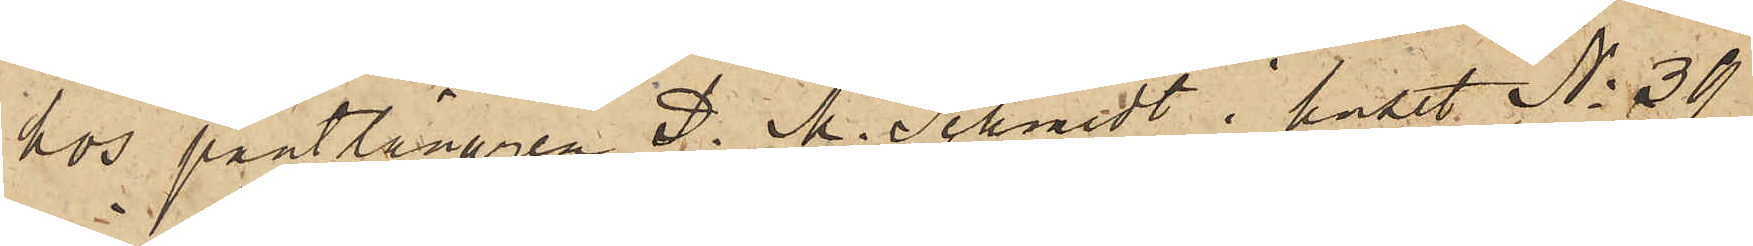hos pantlånaren P. M. Schmidt i huset No 39
